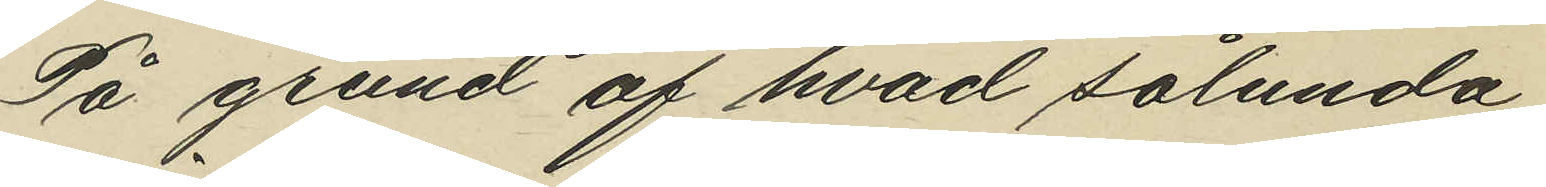På grund af hvad sålunda
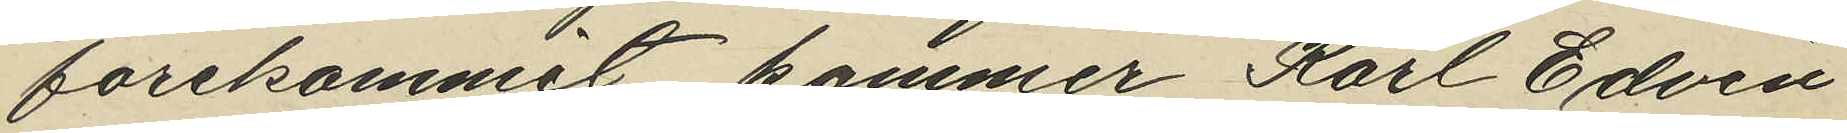förekommit kommer Karl Edvin
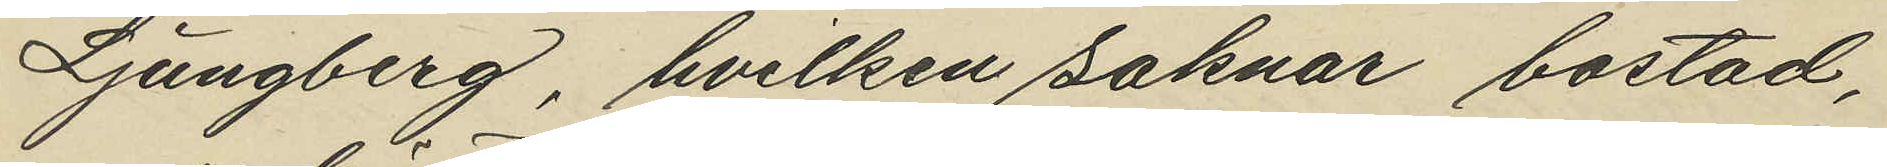Ljungberg, hvilken saknar bostad,
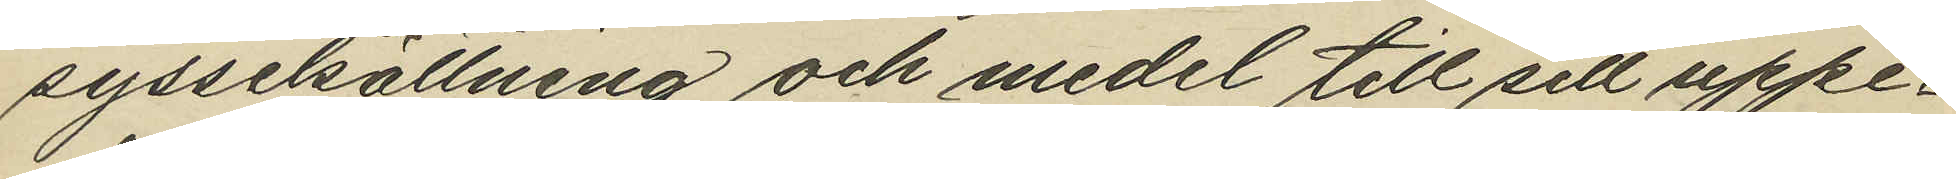sysselsättning och medel till sitt uppe¬
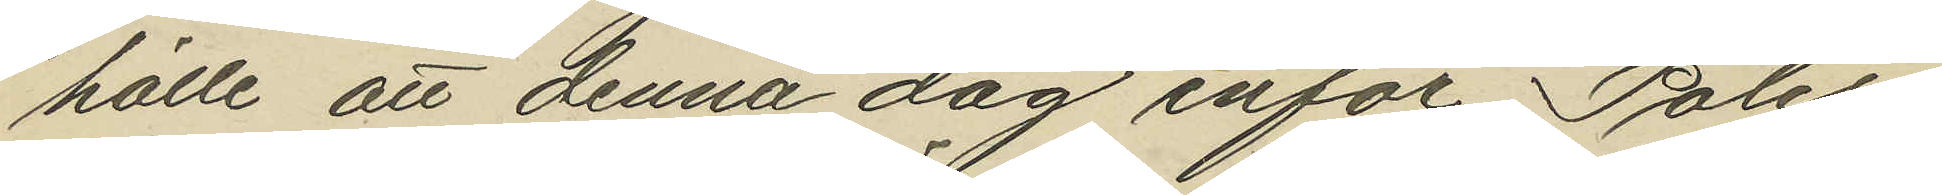hälle att denna dag inför Polis¬
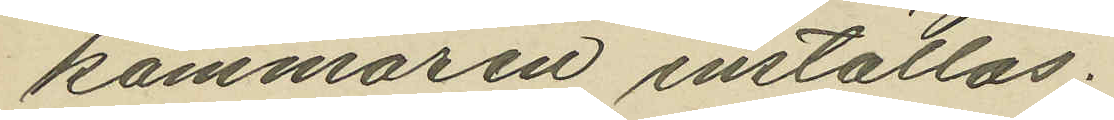kammaren inställas.
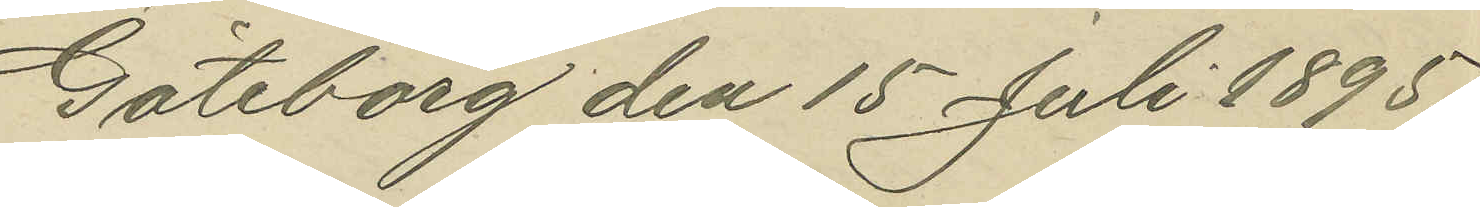Göteborg den 15 Juli 1895.
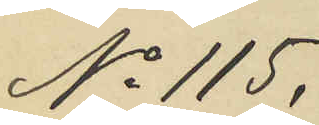No 115.
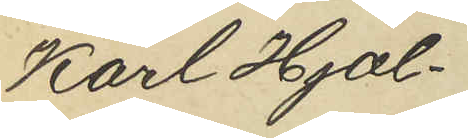Karl Hjal¬
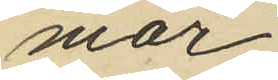mar
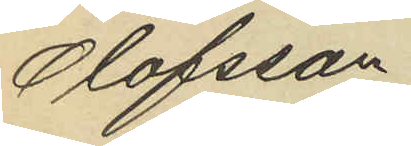Olofsson
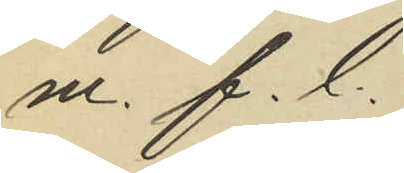m. f.l.
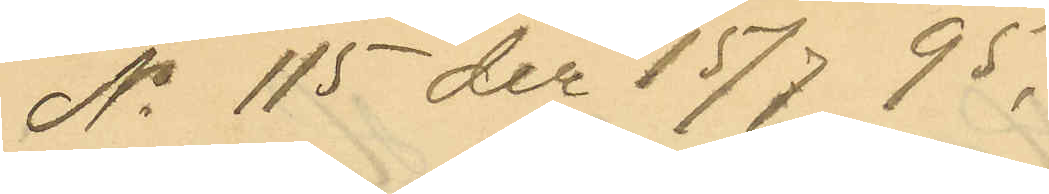No 115 der 15/7 95.
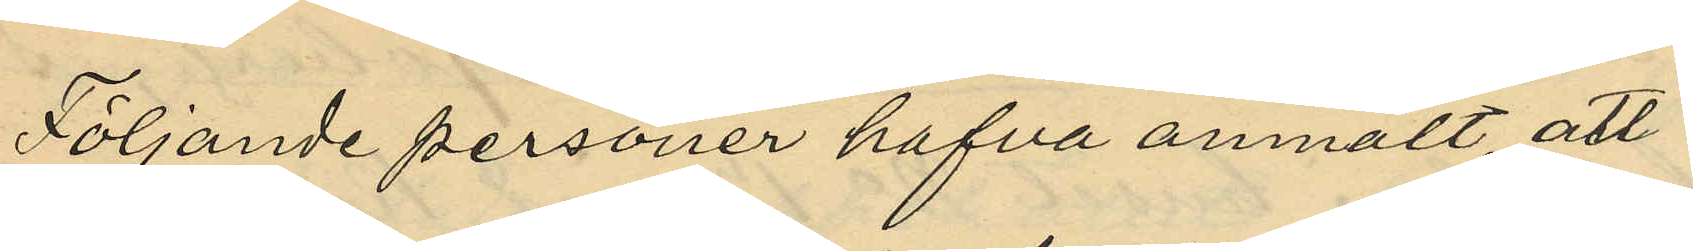Följande personer hafva anmält, att
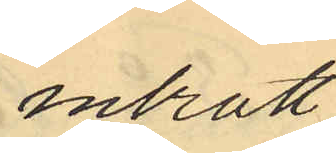inbrott.
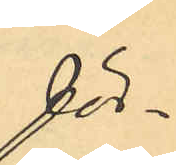för¬
